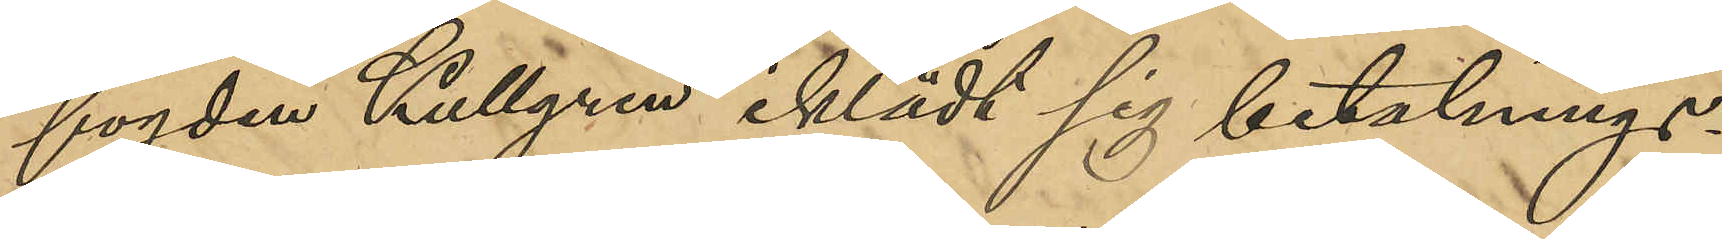fogden Kullgren iklädt sig betalning¬
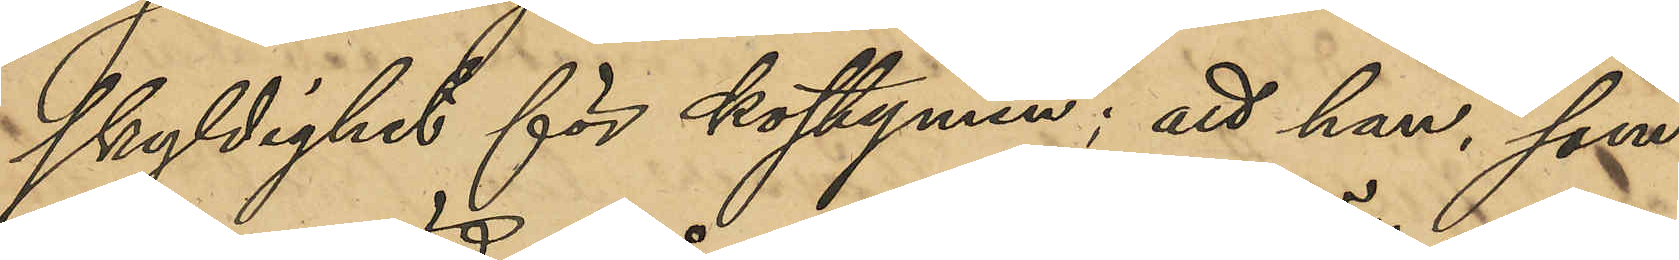skyldighet för kostymen; att han, som
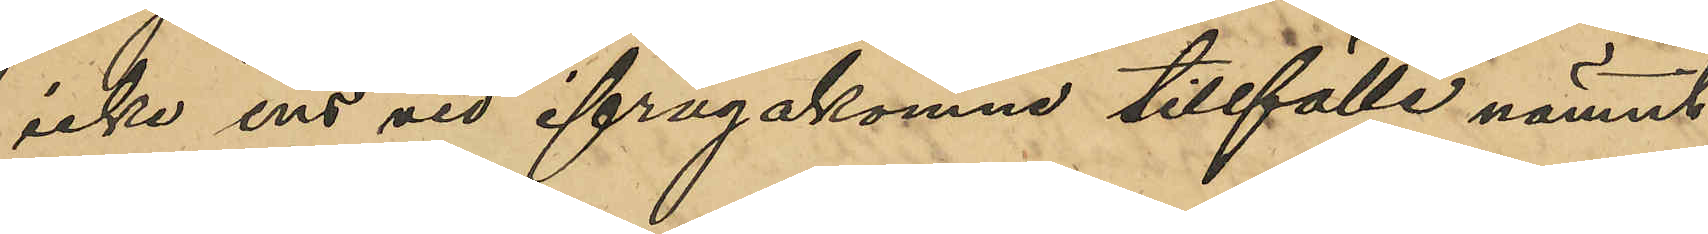icke ens vid ifrågakomne tillfälle nämnt
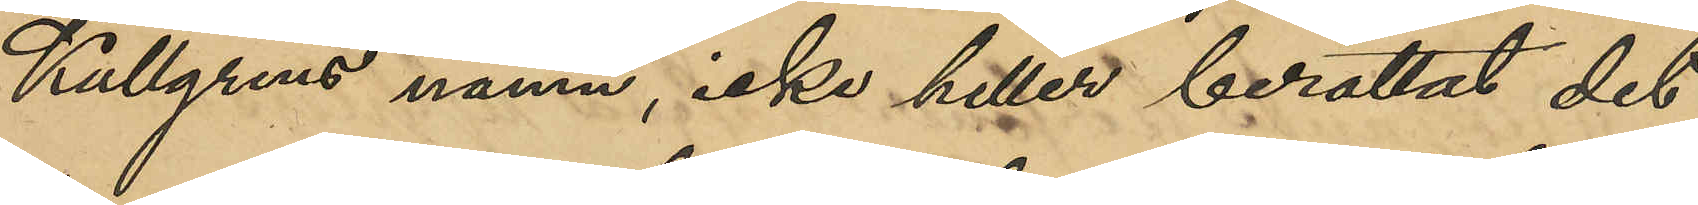Kullgrens namn, icke heller berättat det
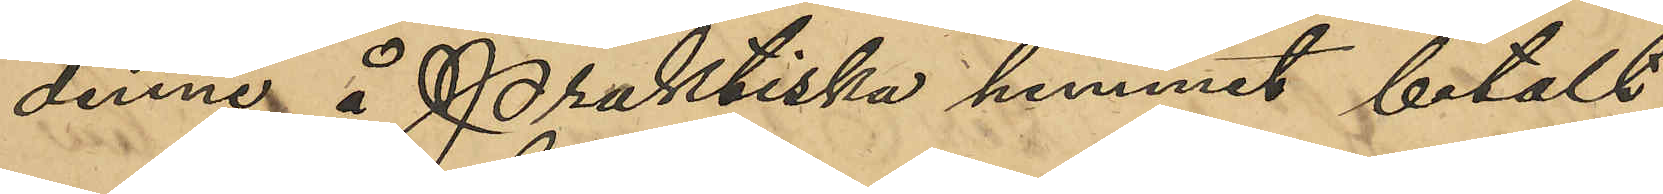denne å Praktiska hemmet betalt
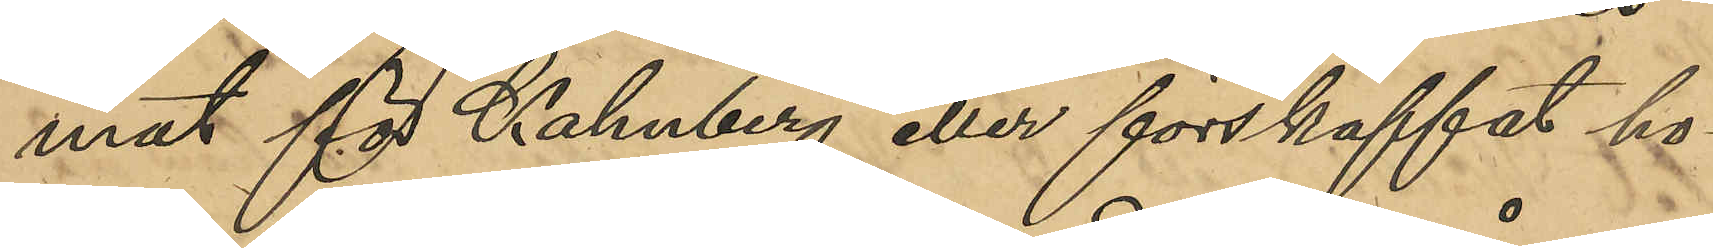mat för Kahnberg eller förskaffat ho¬
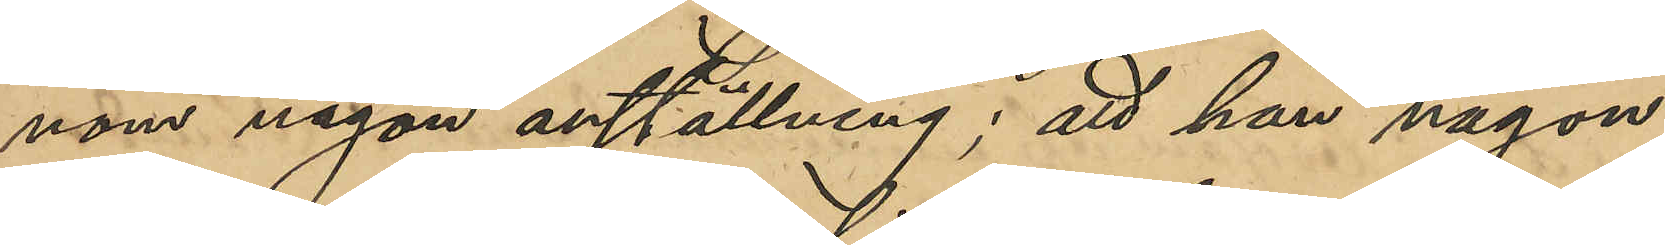nom någon anställning; att han någon
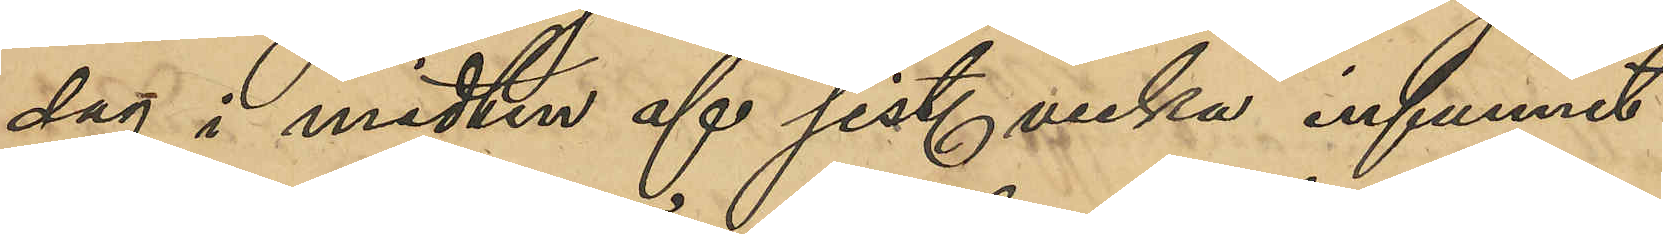dag i midten af sist. vecka infunnit
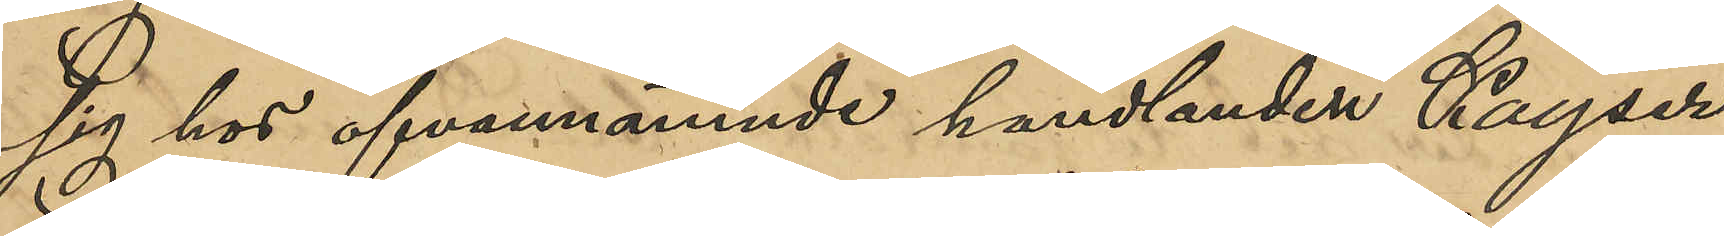sig hos ofvannämnde handlanden Kayser
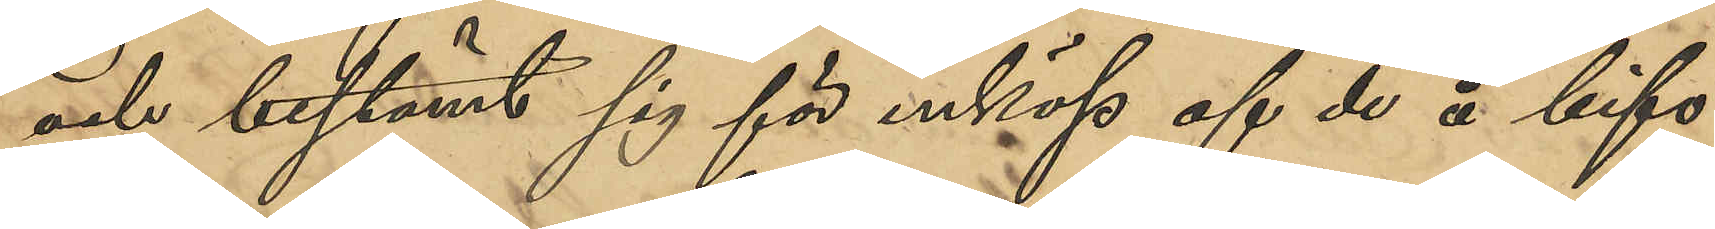och bestämt sig för inköp af de å bifo¬
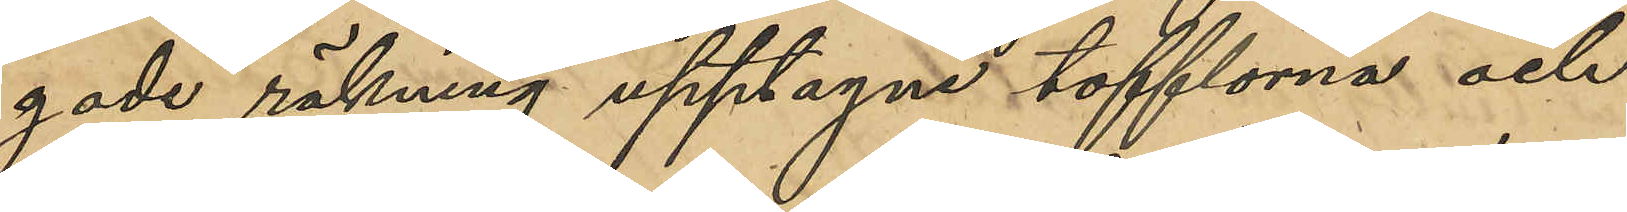gade räkning upptagne tofflorna och
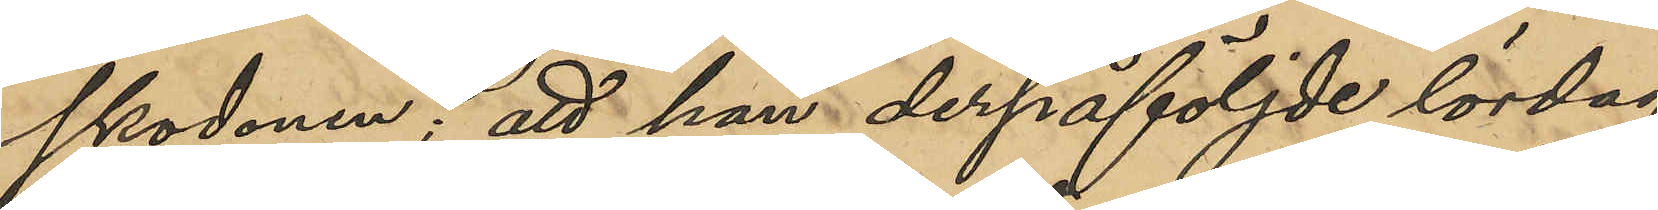skodonen; att han derpåföljde lördag
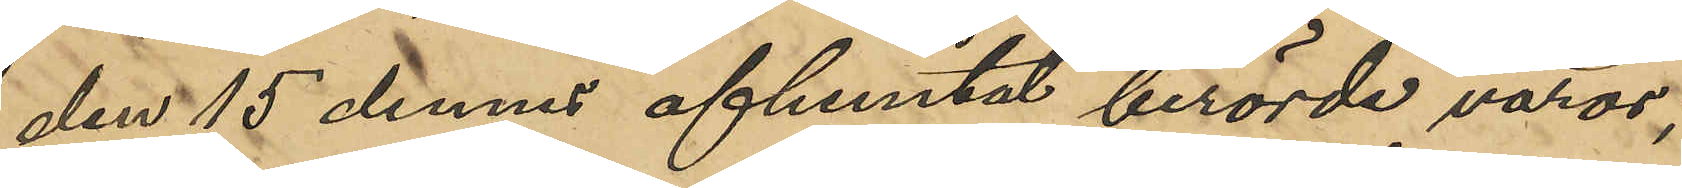den 15 dennes afhemtat berörde varor;
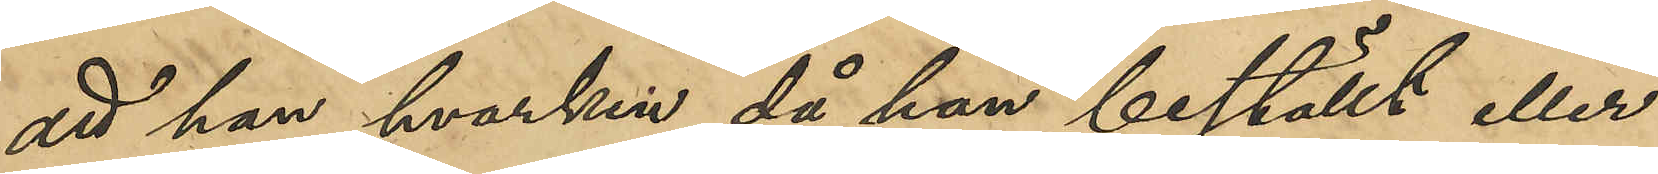att han hvarken då han beställt eller
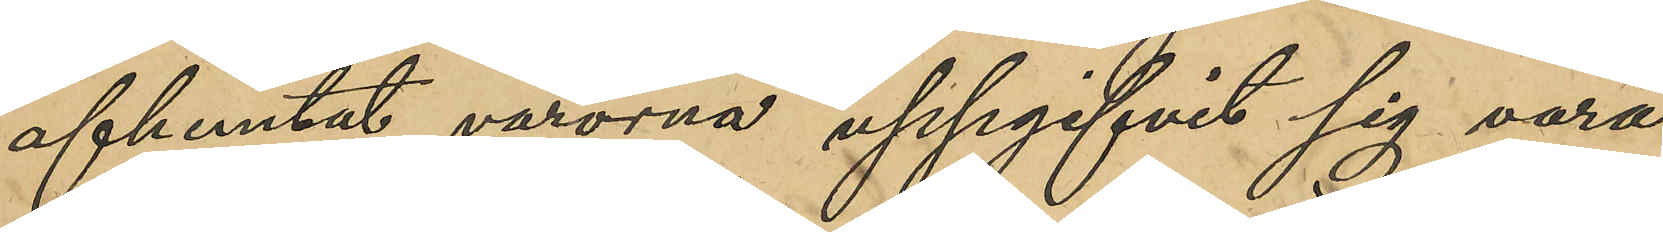afhemtat varorna uppgifvit sig vara
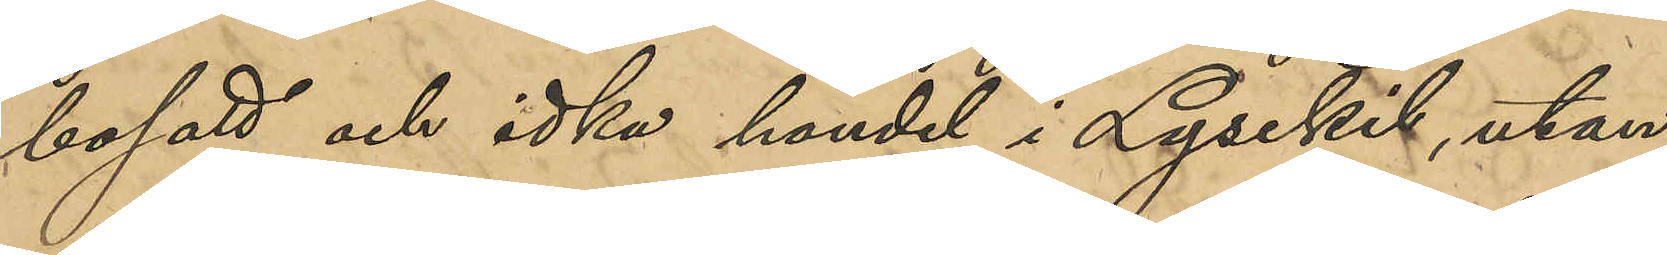bosatt och idka handel i Lysekil, utan
